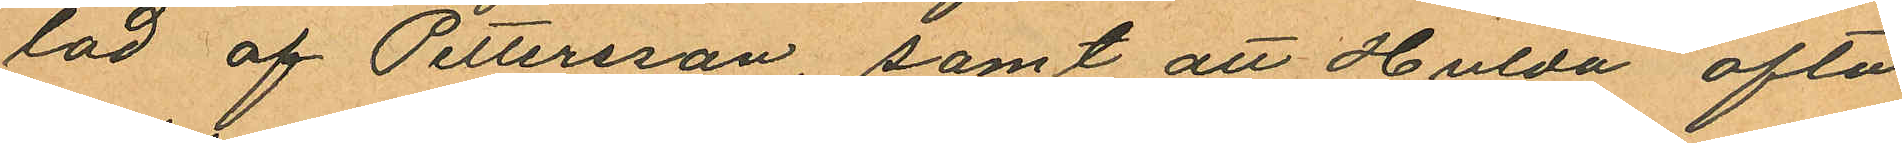lad af Pettersson, samt att Hulda ofta
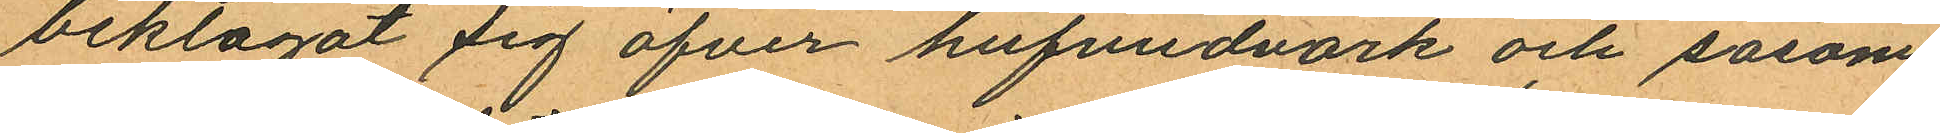beklagat sig öfver hufvudvärk och såsom
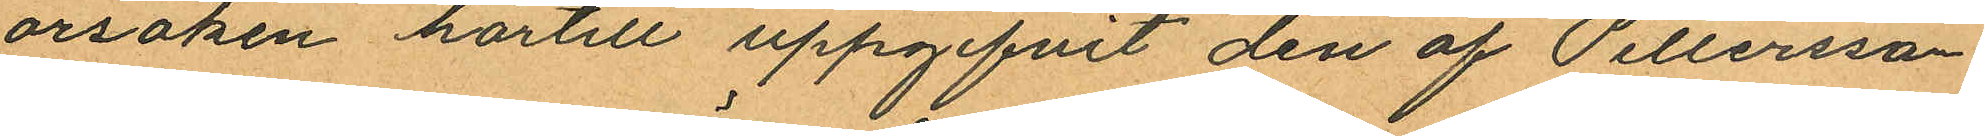orsaken härtill uppgifvit den af Pettersson
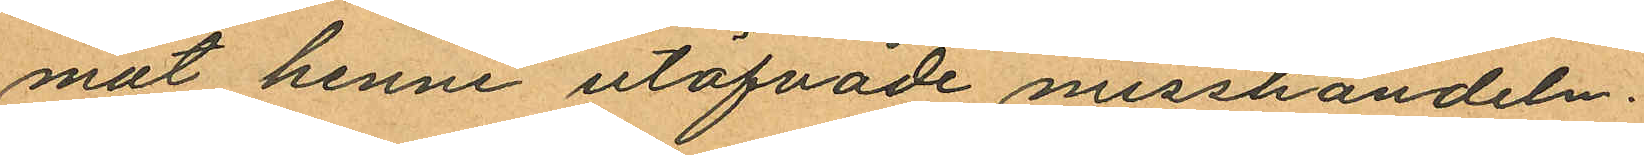mat henne utöfvade misshandeln.
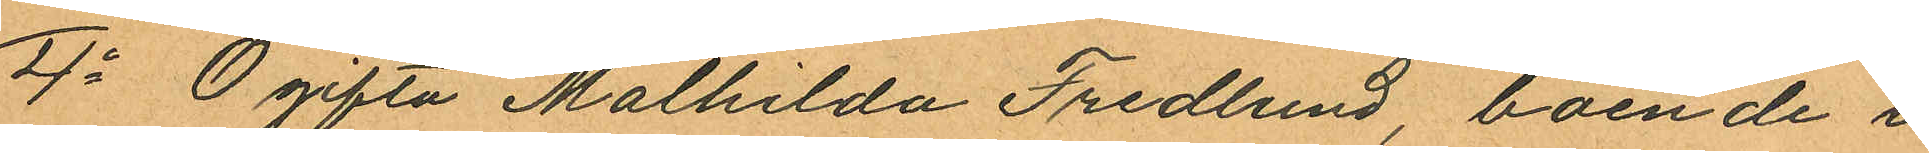4o Ogifta Malhilda Fredlund, boende i
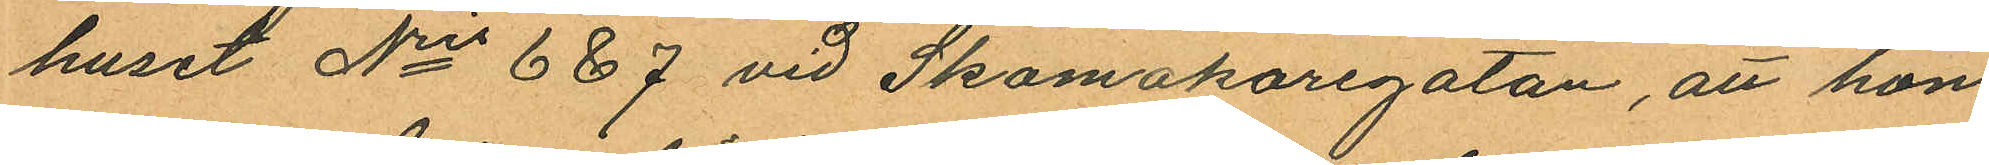huset Nris 6 & 7 vid Skomakaregatan, att hon
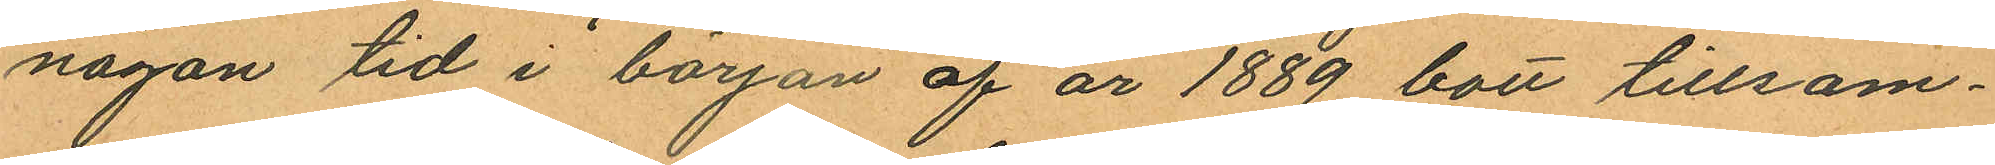någon tid i början af år 1889 bott tillsam¬
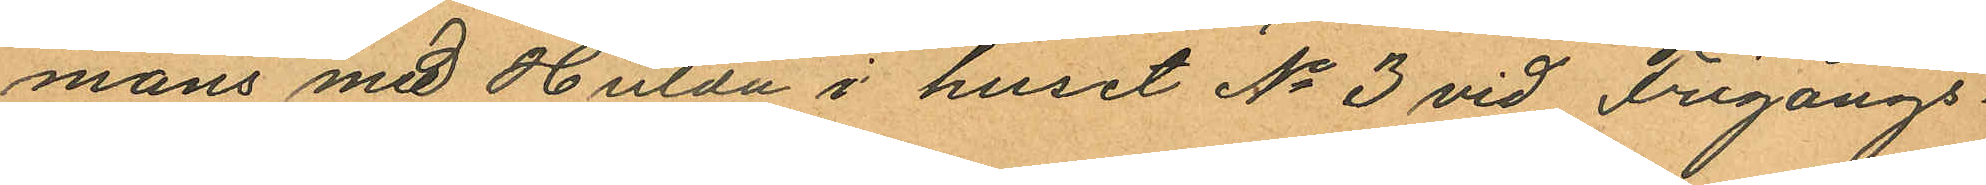mans med Hulda i huset No 3 vid Frigångs¬
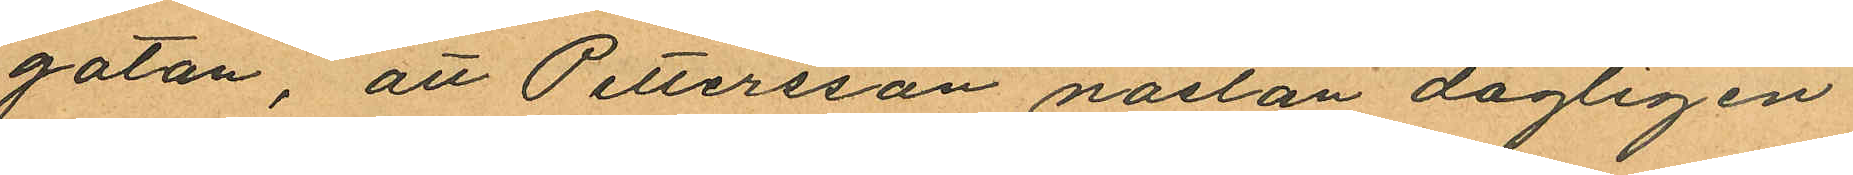gatan, att Pettersson nästan dagligen
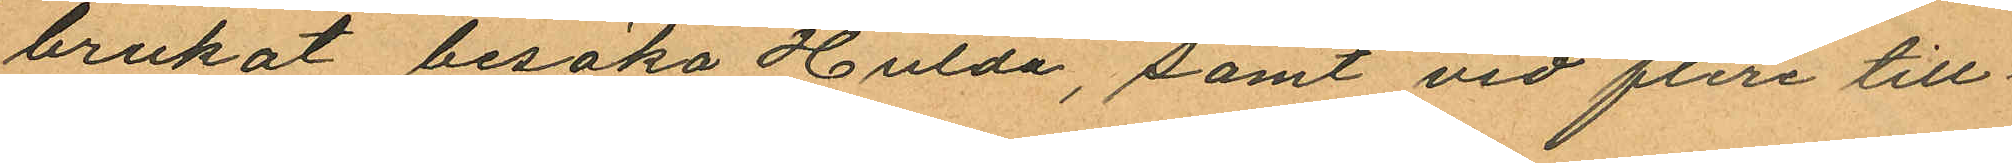brukat besöka Hulda, samt vid flera till¬
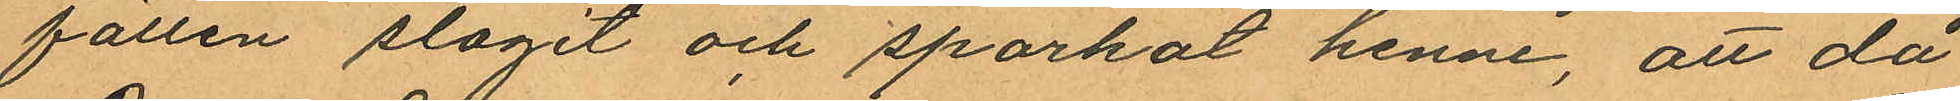fällen slagit och sparkat henne, att då
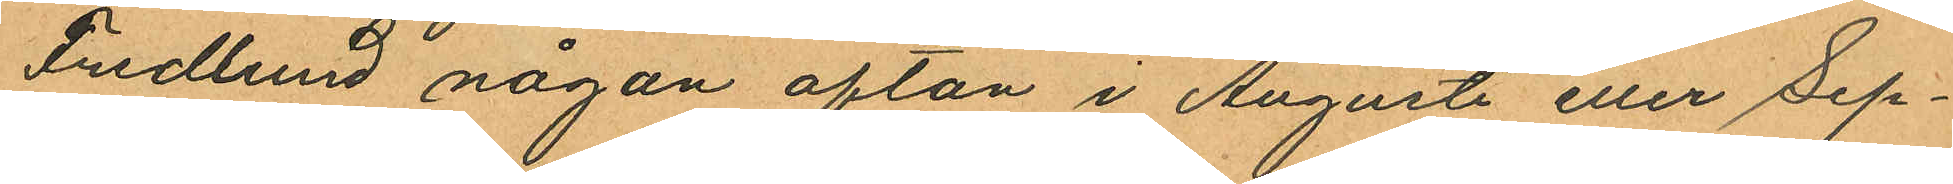Fredlund någon afton i Augusti eller Sep¬
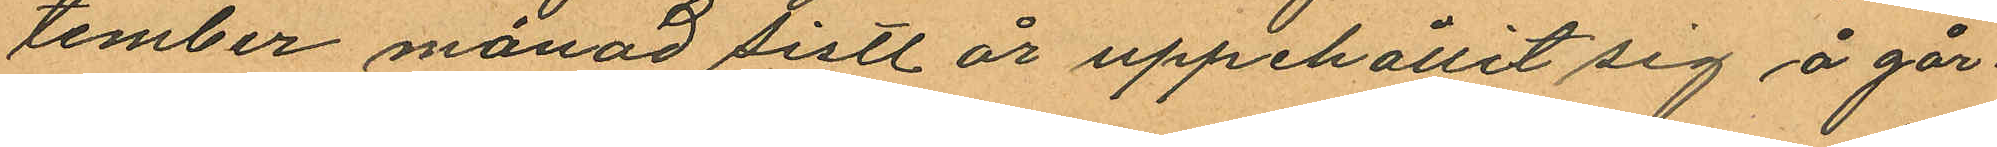tember månad sistl. år uppehållit sig å går¬
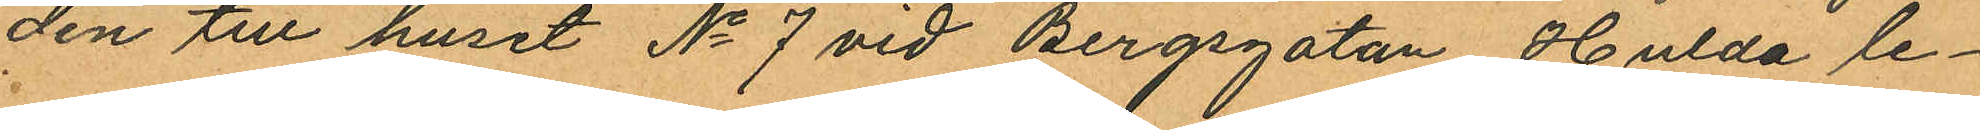den till huset No 7 vid Bergsgatan, Hulda le¬
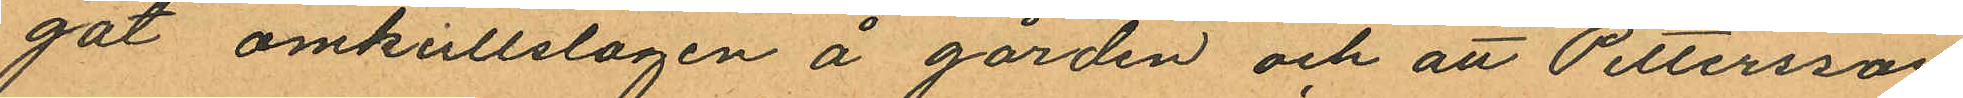gat omkullslagen å gården och att Pettersson
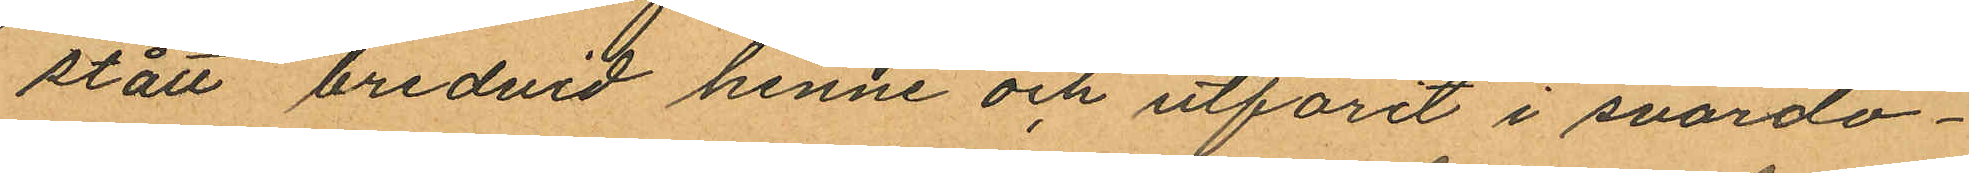stått bredvid henne och utforit i svordo¬
